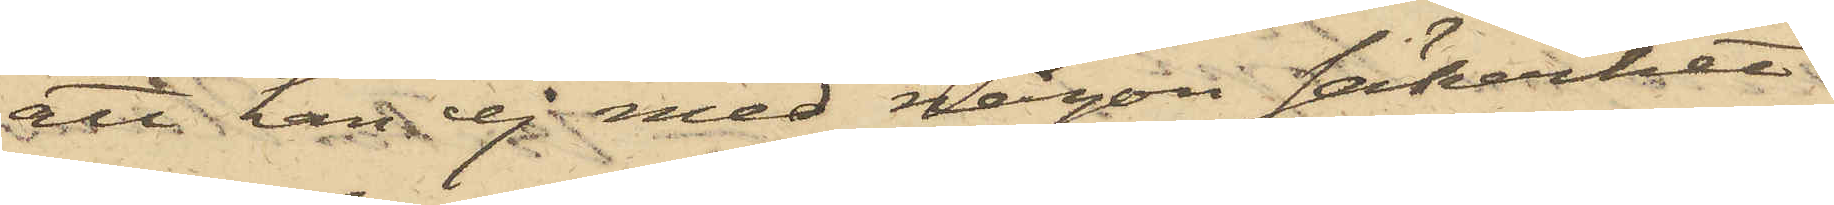att han ej med någon säkerhet
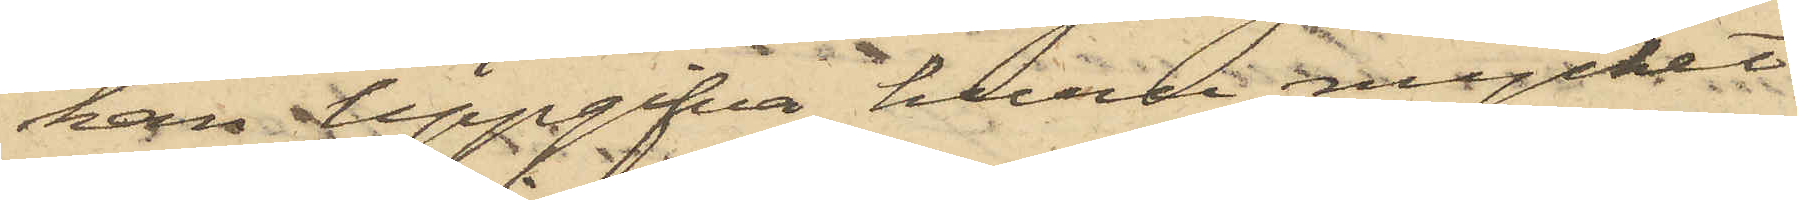kan uppgifva huru mycket
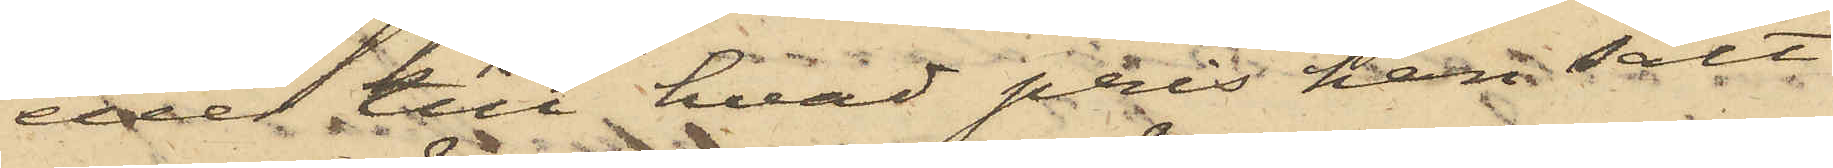eller till hvad pris han sålt
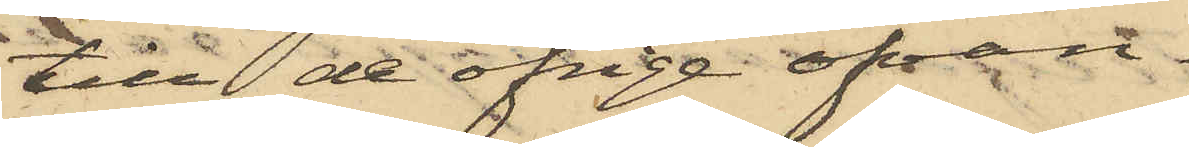till de öfrige ofvan¬
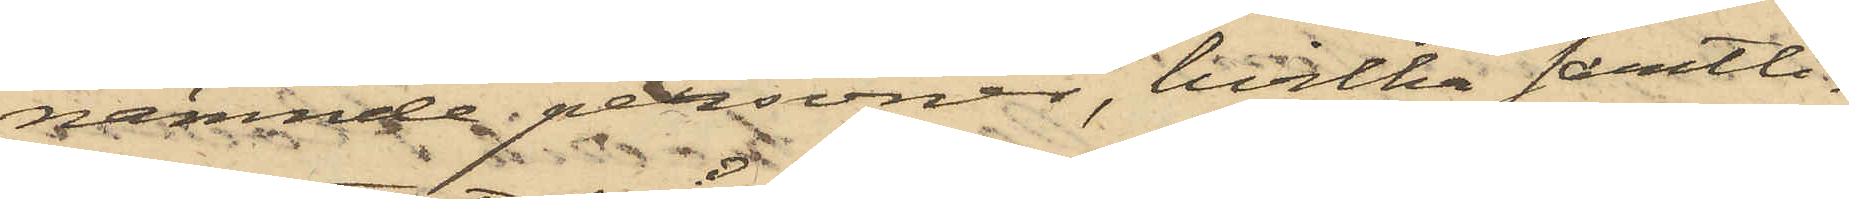nämnde personer, hvilka samtli¬
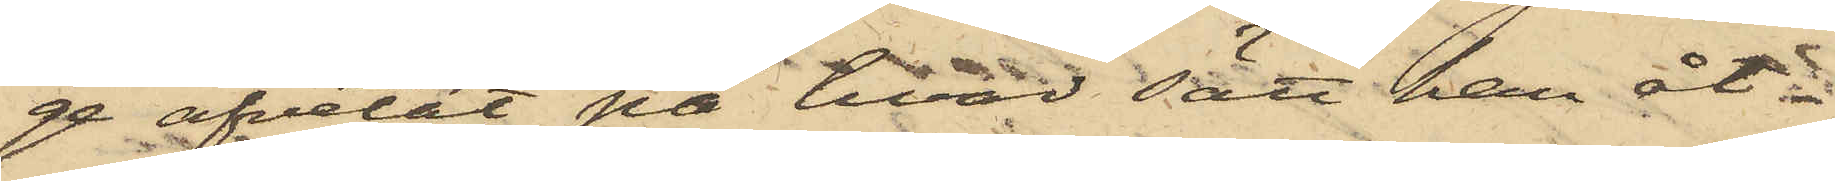ge afvetat på hvad sätt han åt¬
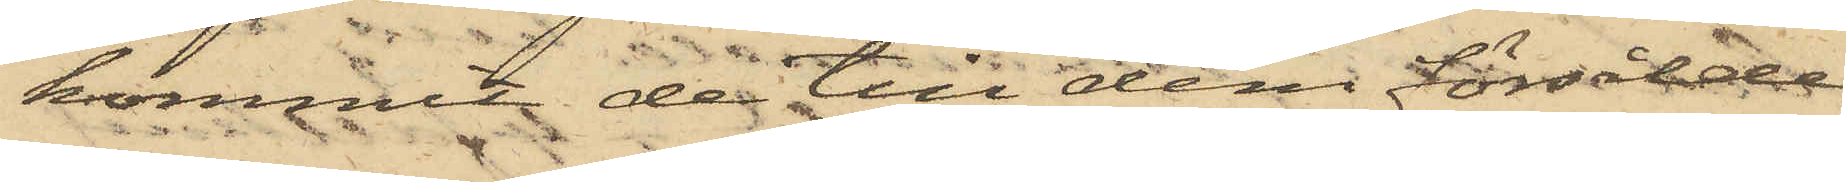kommit de till dem försålde
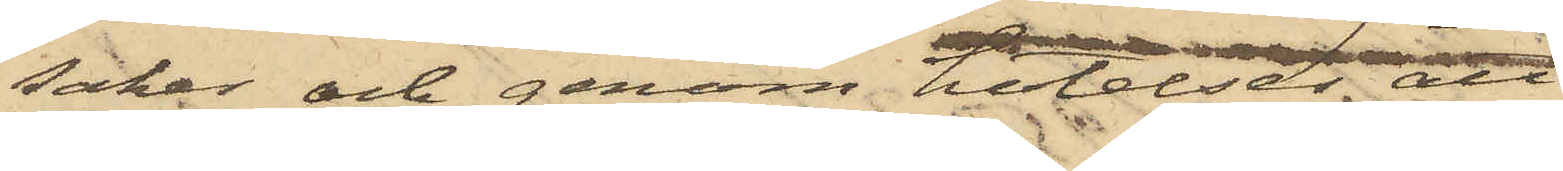saker och genom hotelser att
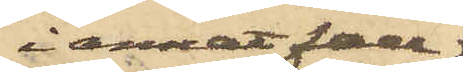i annat fall
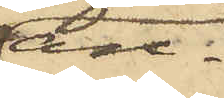an¬
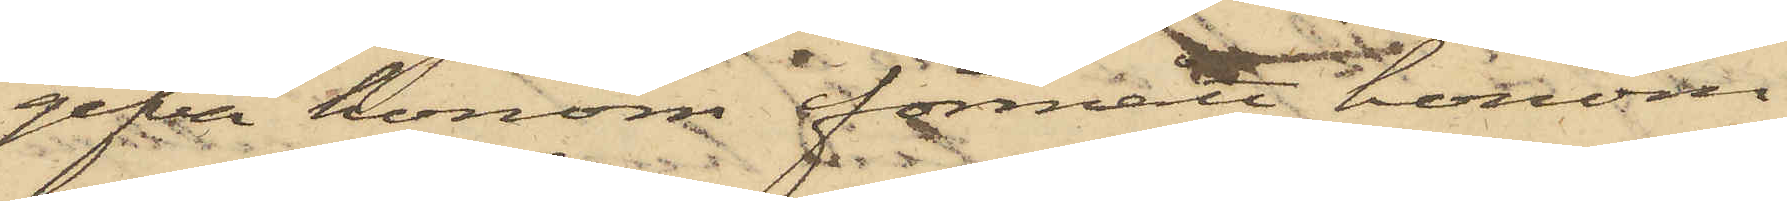gifva honom förmått honom
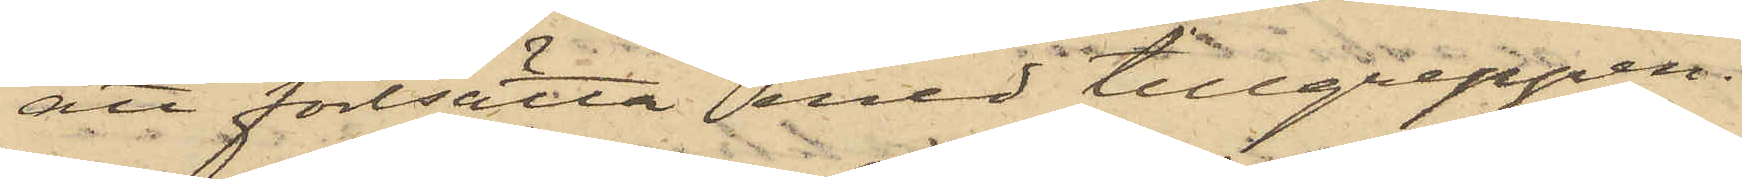att fortsätta med tillgreppen.
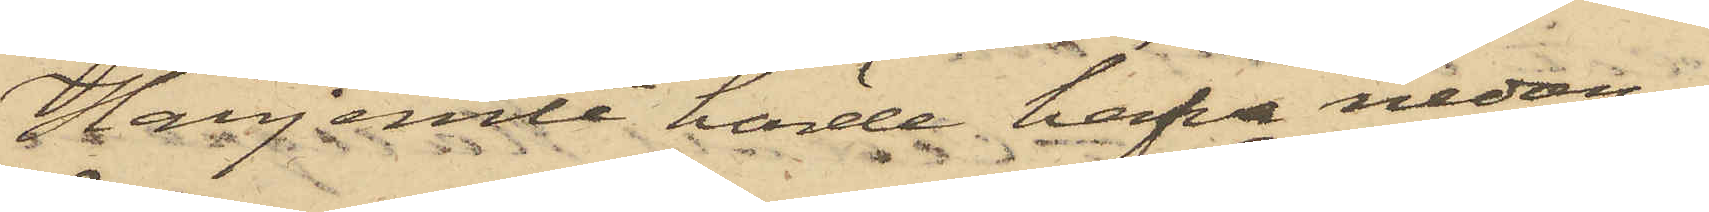Härjemte hörde hafva nedan
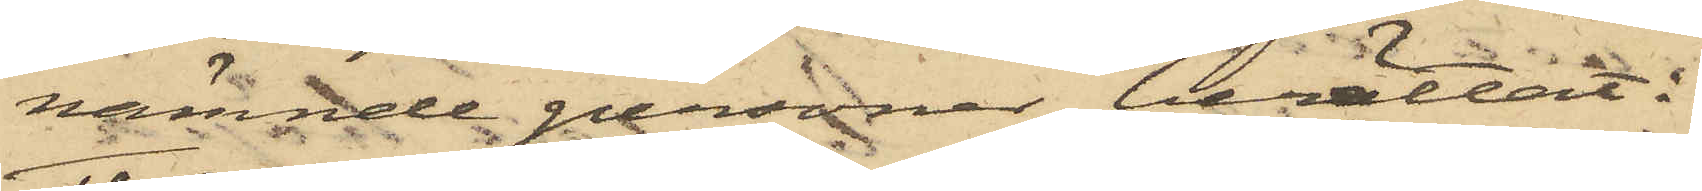nämnde personer berättat:
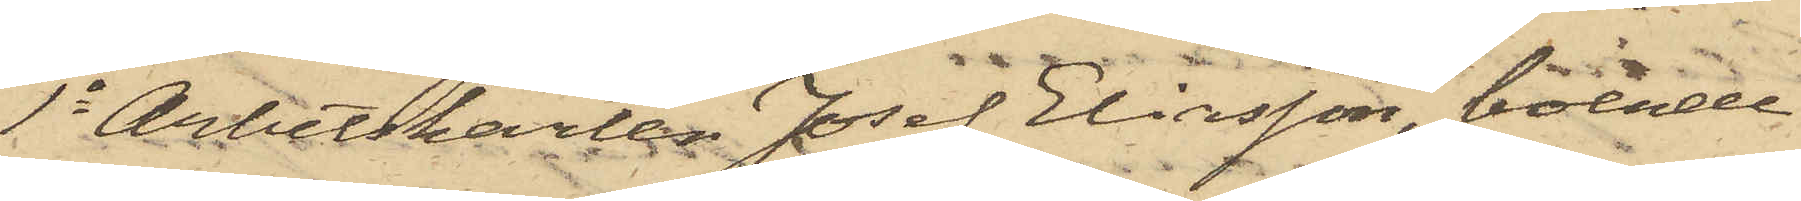1o Arbetskarlen Josef Eliasson, boende
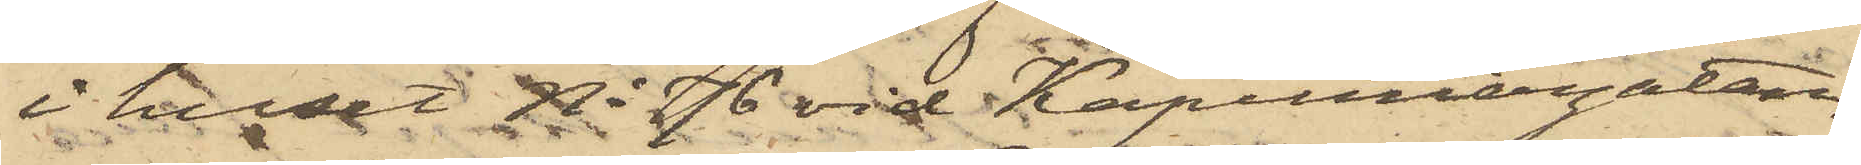i huset No 76 vid Kapuniergatan,
